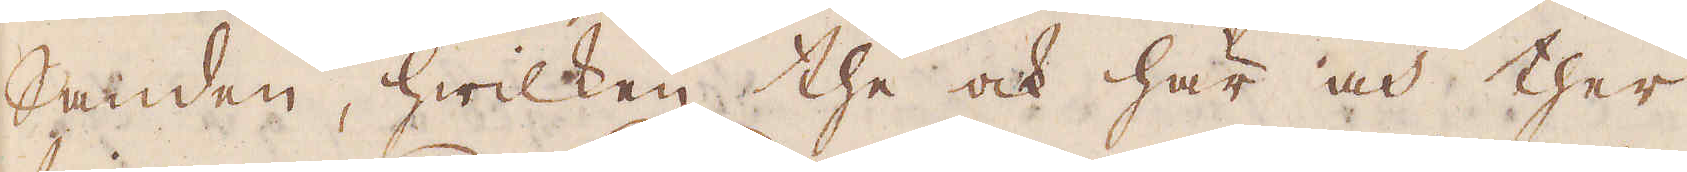Sanden, hwilken the och här och ther
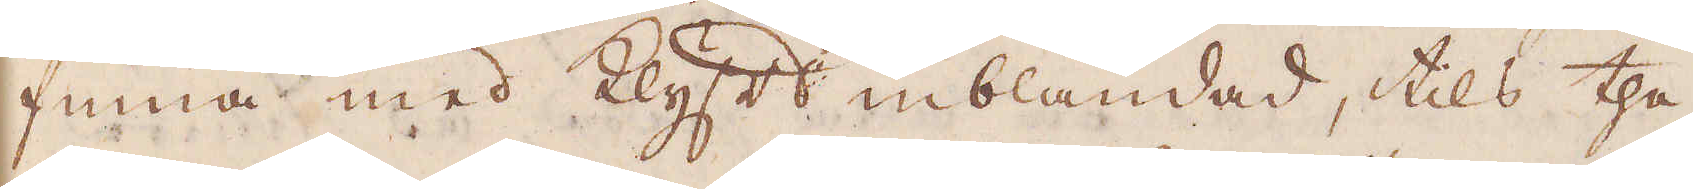finna med Klyfts inblandad, tils the
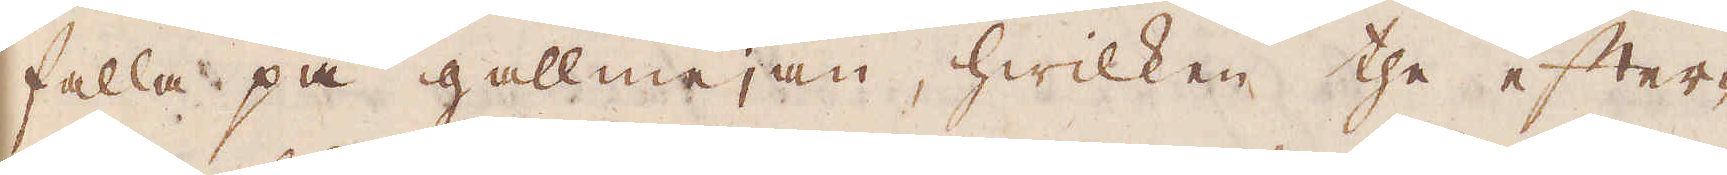falla på gallmejan, hwilken the efter-
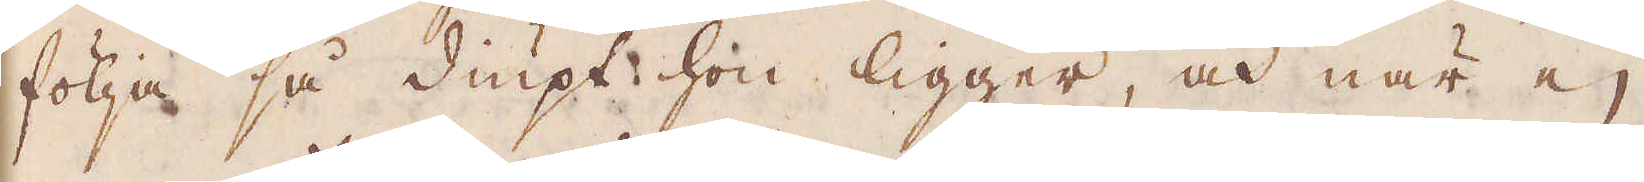följa så diupt hon ligger, och när ej
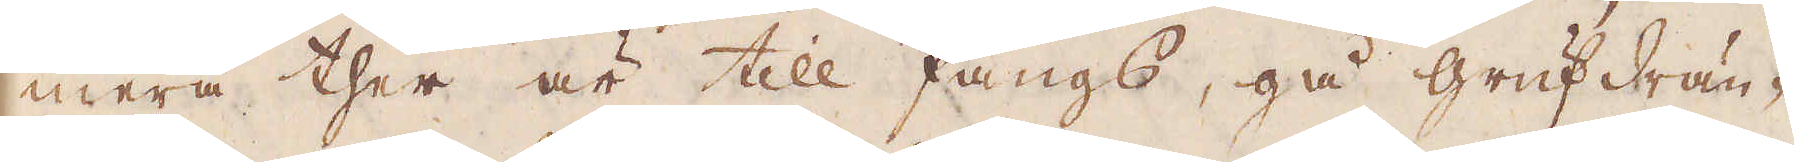mera ther är till fångs, gå grufdrän-
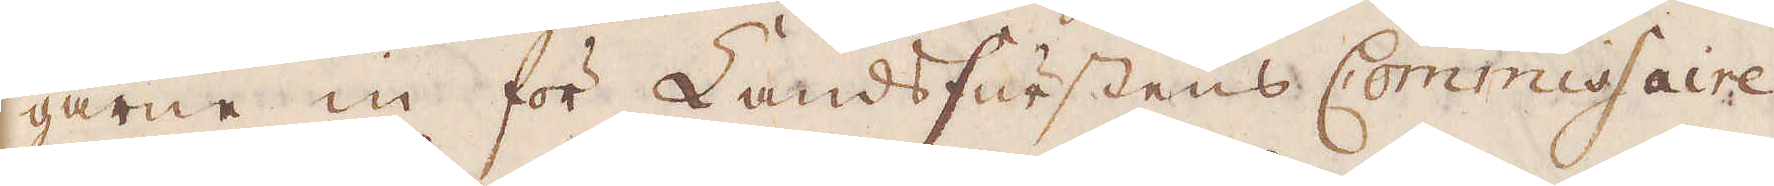garne in för Landsfurstens Commissaire,
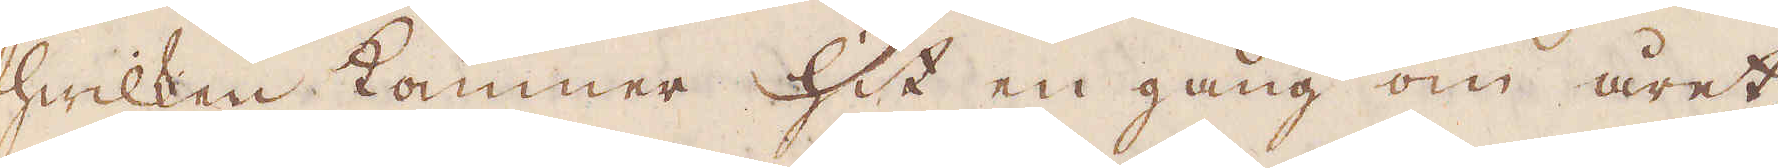hwilken kommer hit en gång om året,
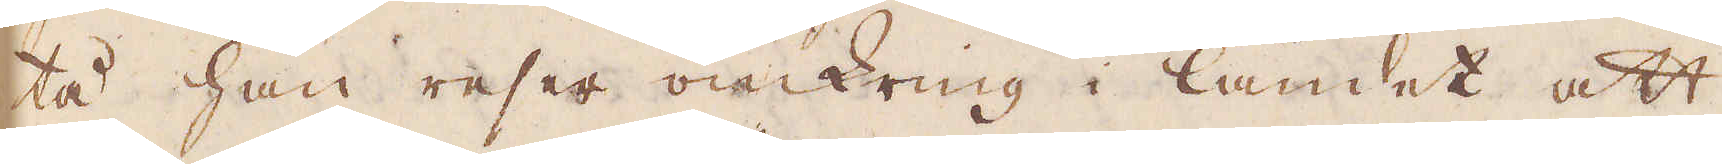tå han reser omkring i landet att
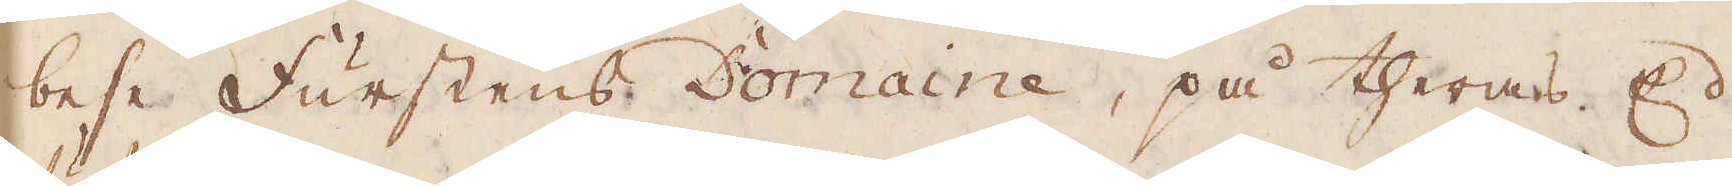bese Furstens Domaine, på theras Ed
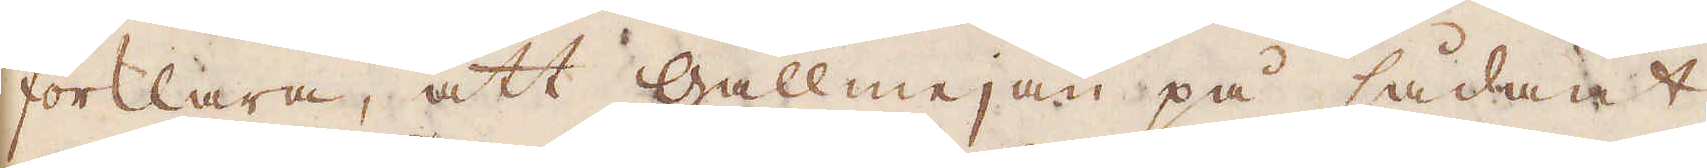förklara, att gallmejan på sådant
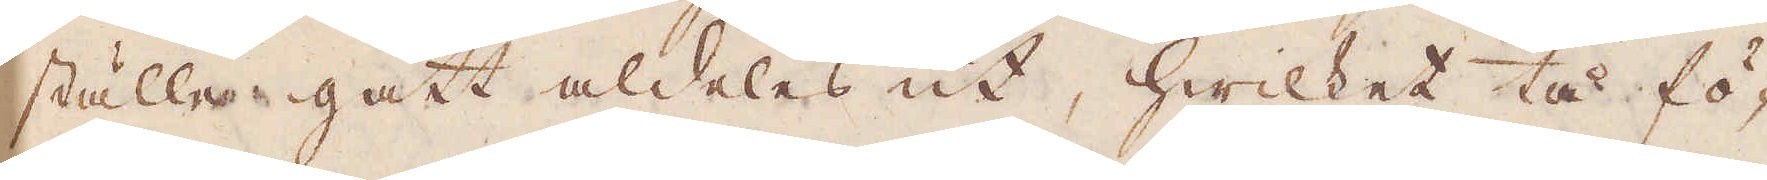ställe gått aldeles ut, hwilket tå fö-
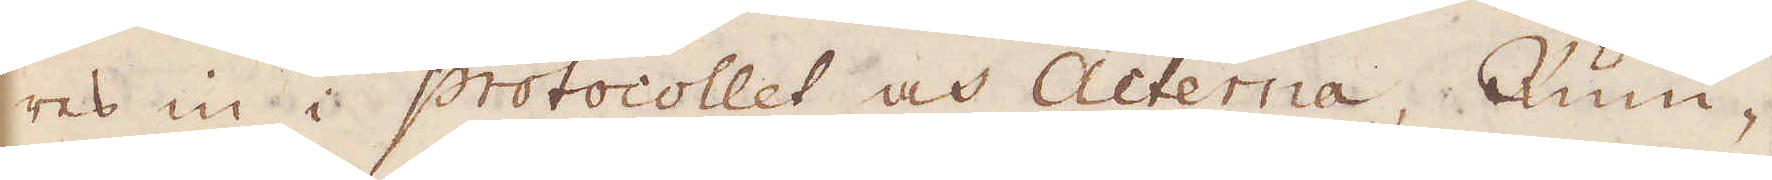res in i protocollet och Acterna, Rum-
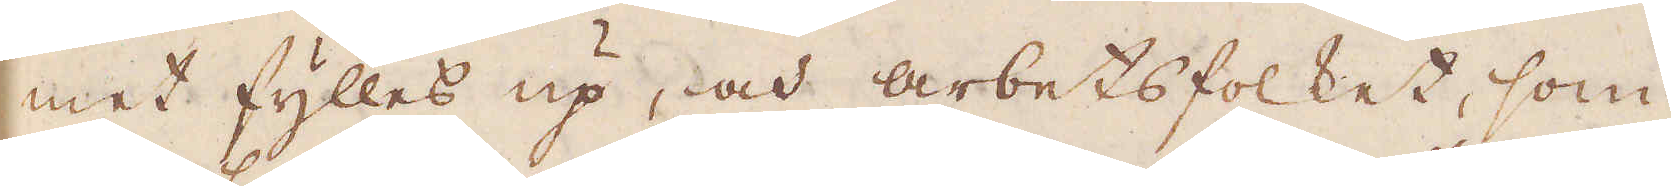met fylles upp, och arbetsfolket, som
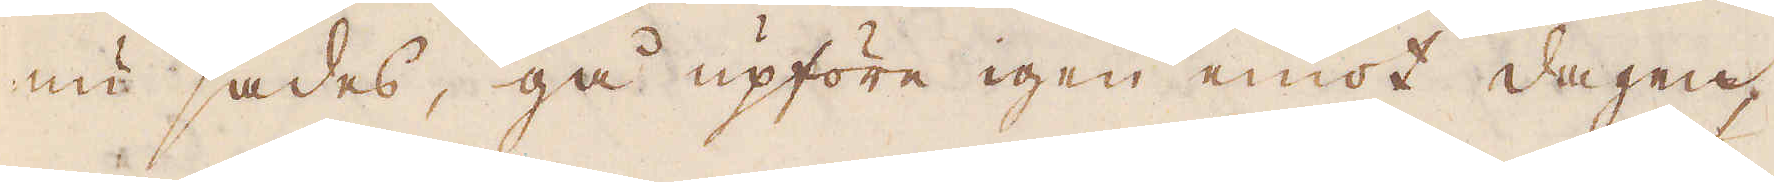nu sades, gå upföre igen emot dagen,
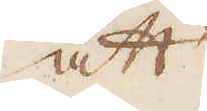att
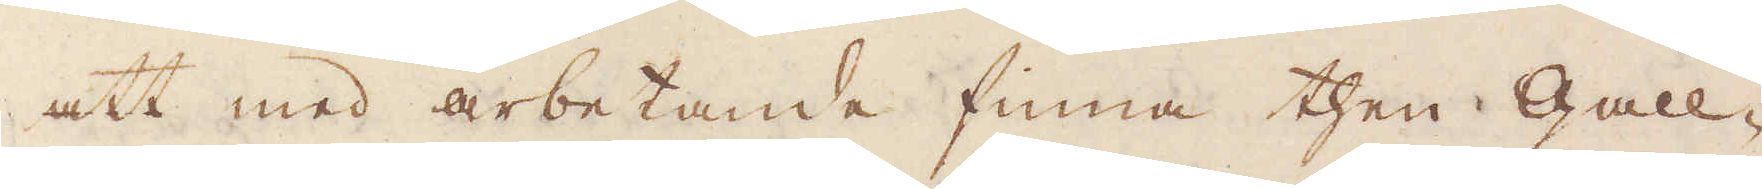att med arbetande finna then Gall-
